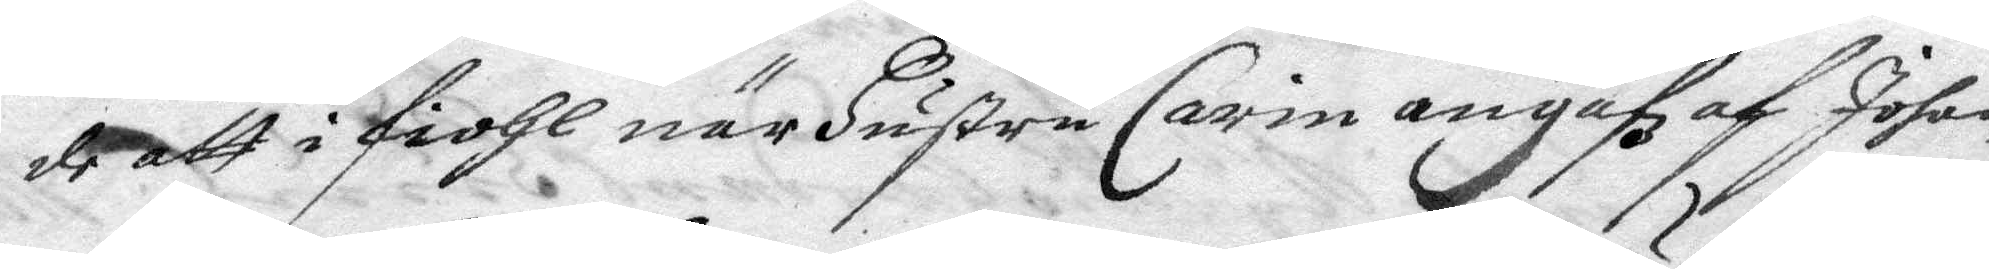de att i fiohl när Hustru Carin angafz af Johan
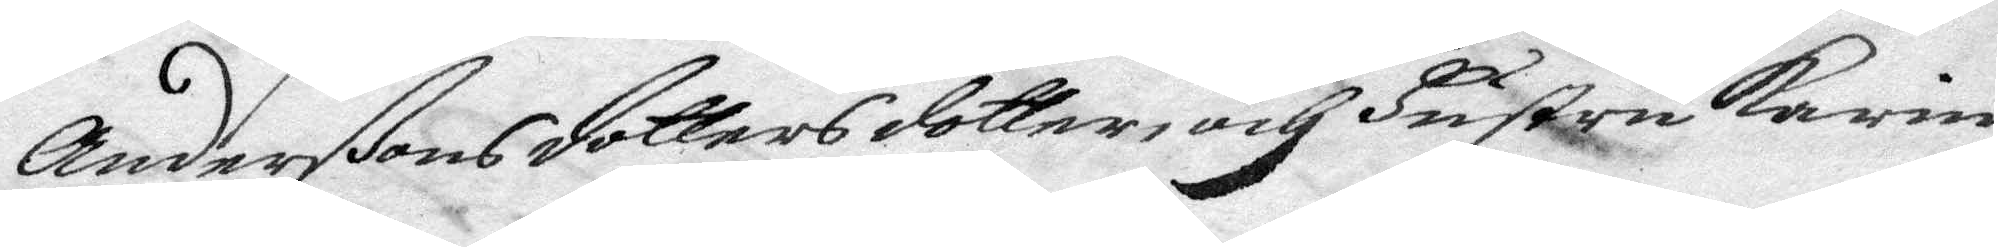Anderßons dottersdotter, och Hustru Karin
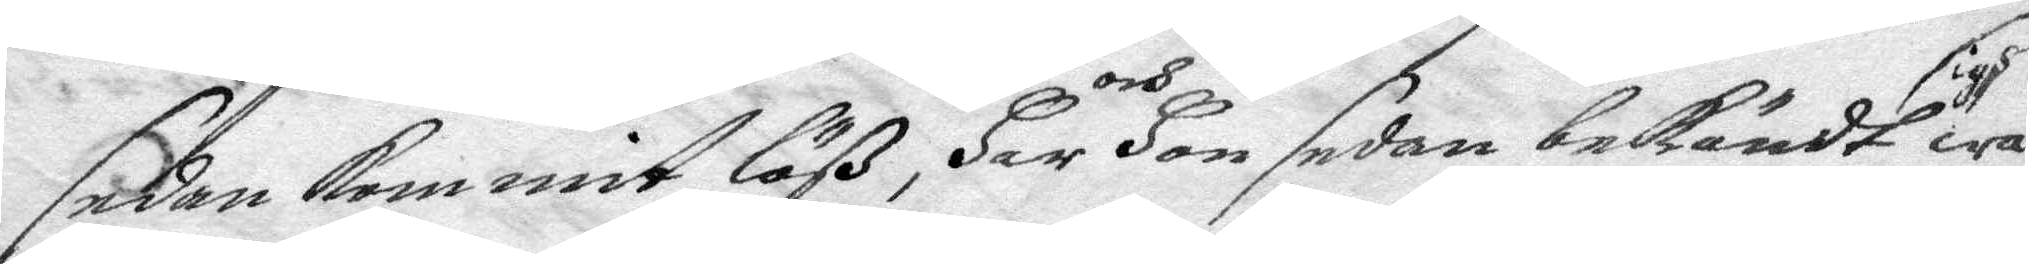sedan kommit löß, Har och Hon sedan bekändt sigh wa¬
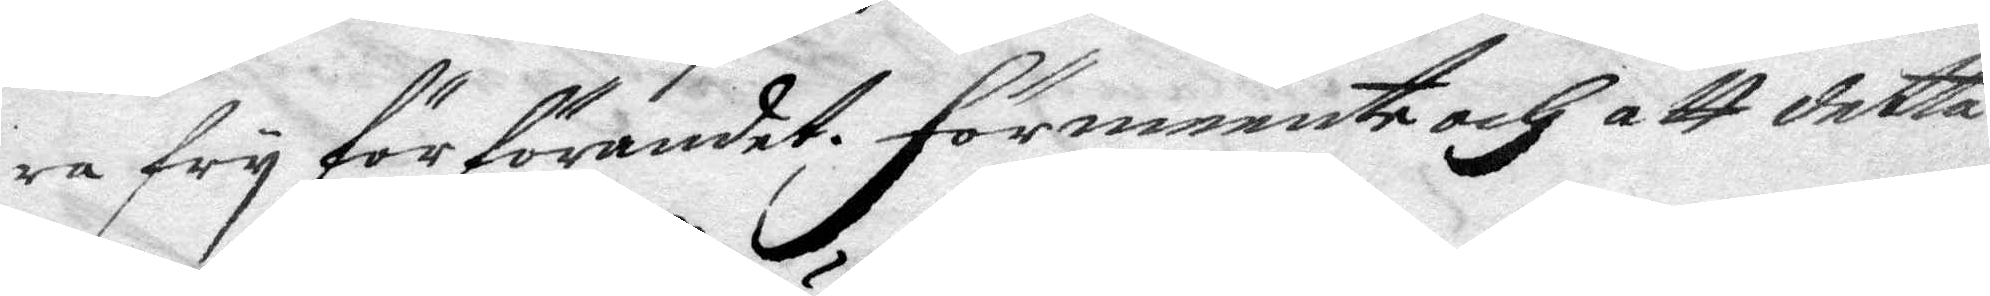ra fry för förandet. Förmeente och att detta
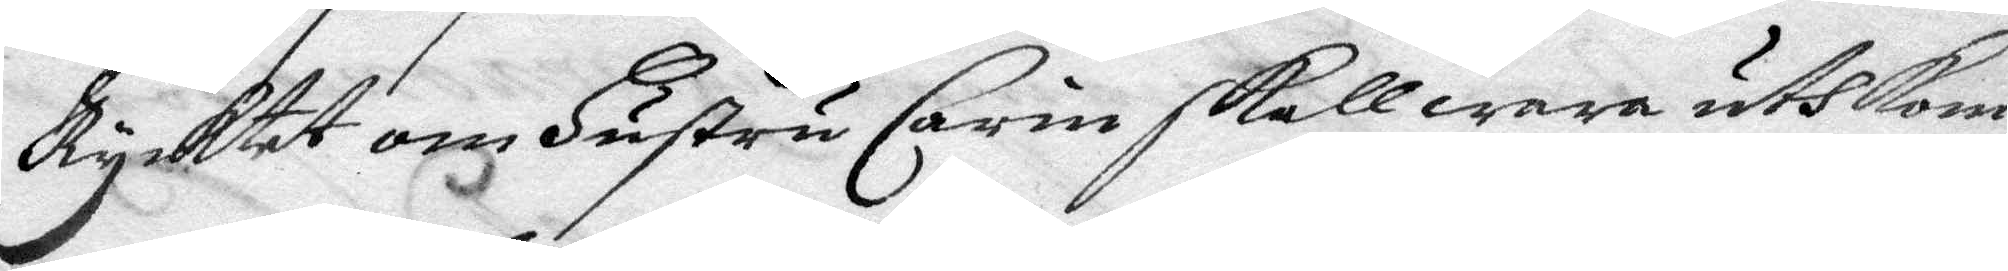Rycktet om Hustru Carin skall wara uthkom¬
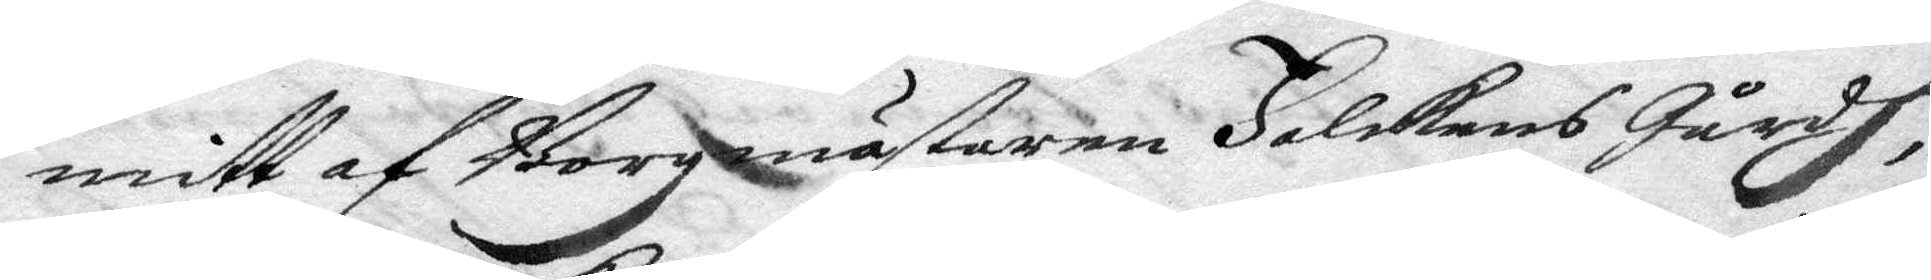mitt af Borgmästaren Falckens Gårdh,
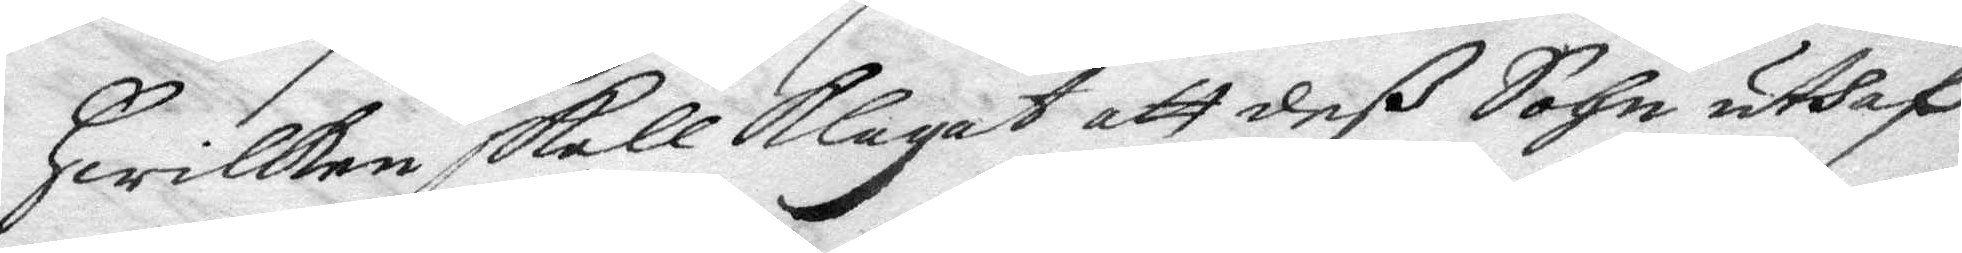Hwilken skall klagat att deß Sohn uthaf
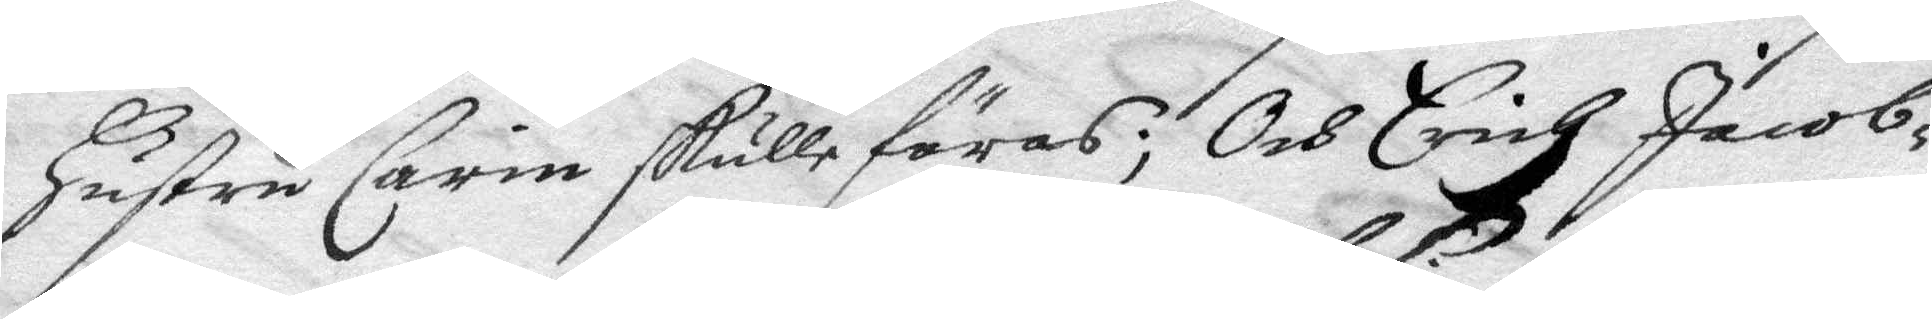Hustru Carin skulle föras; Och Erich Jacob¬
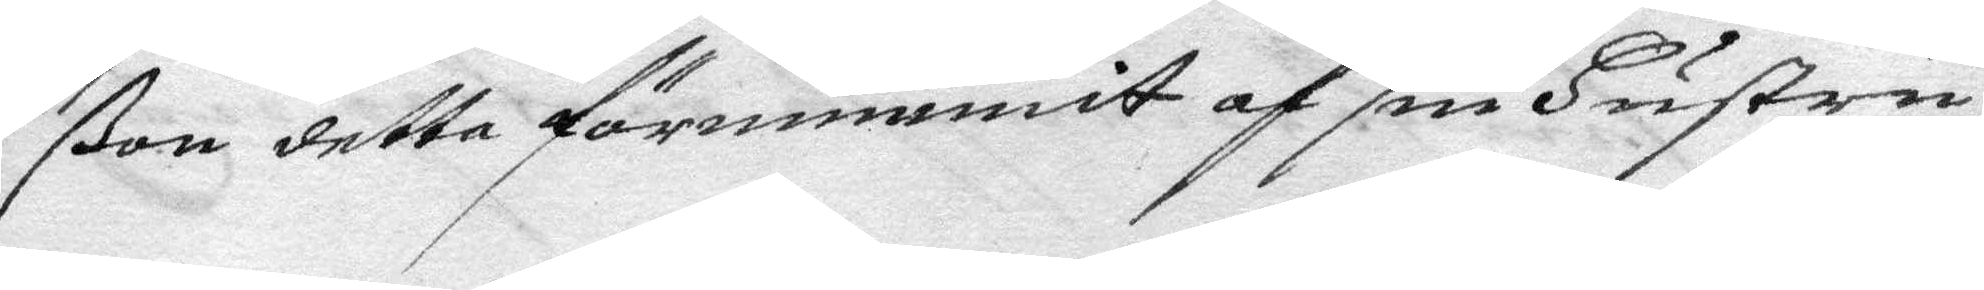ßon detta förnummit af sin Hustru,
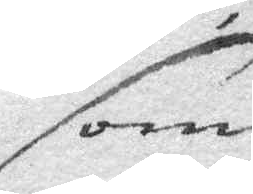som
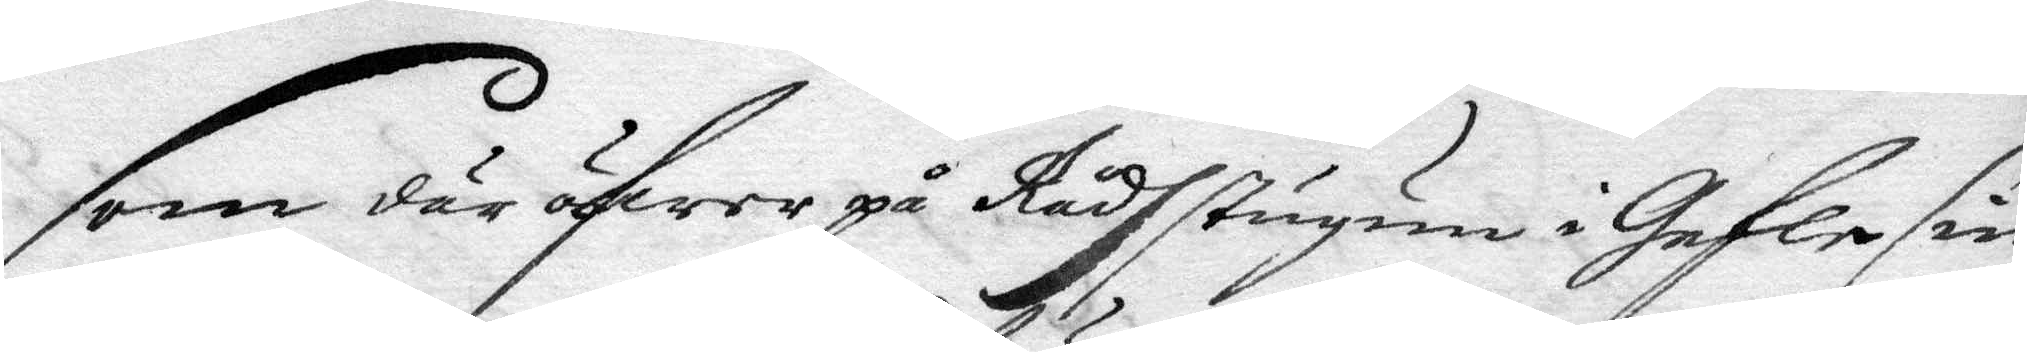som där öfwer på Rådhstugun i Gefle sin
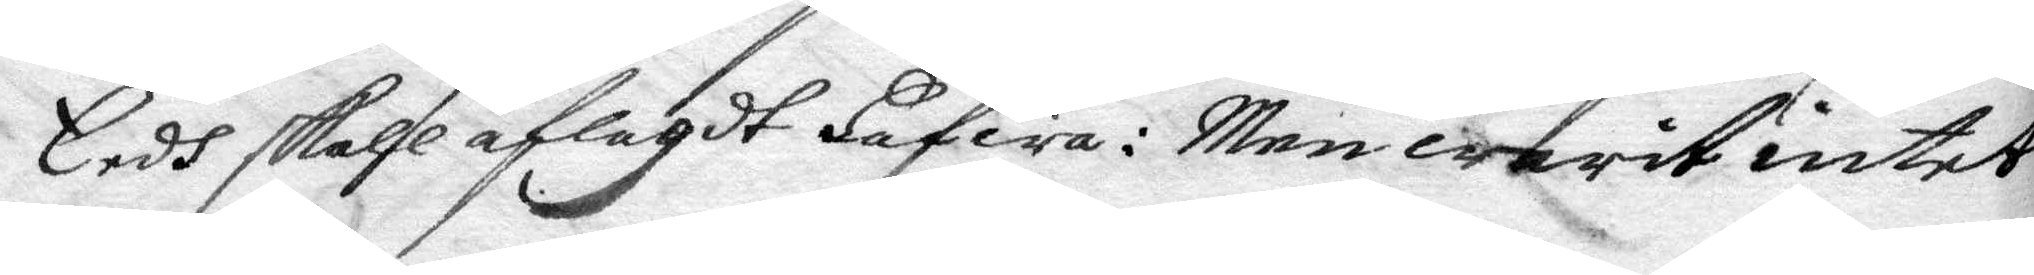Eedh skall aflagdt Hafwa: Men warit intet
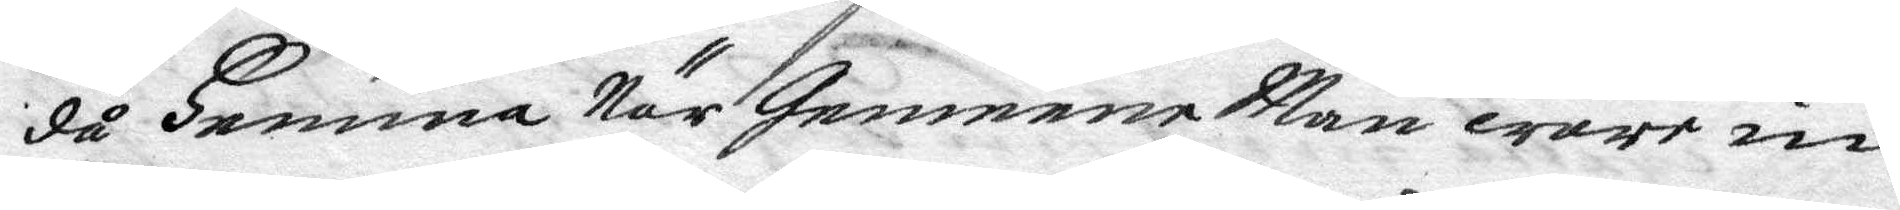då Hemma När Gemene Man ware in
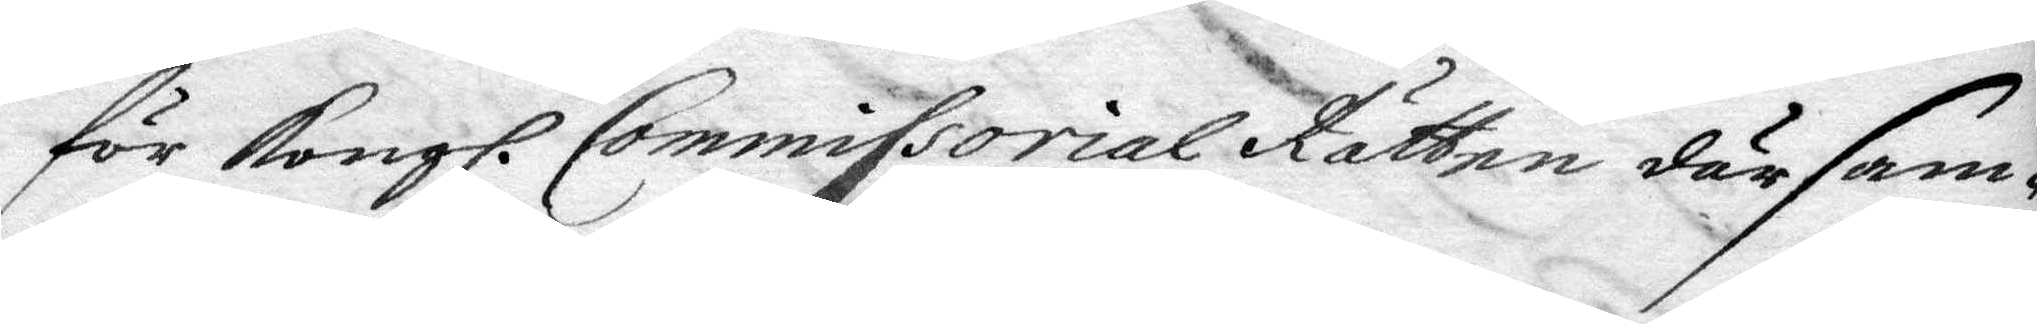för Kongl. Commissorial Rätten därsam¬
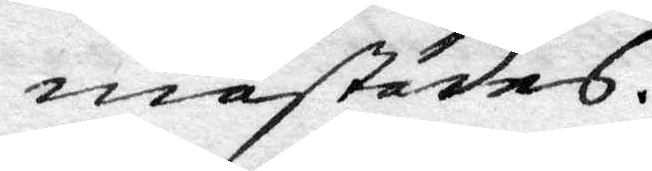mastädes.
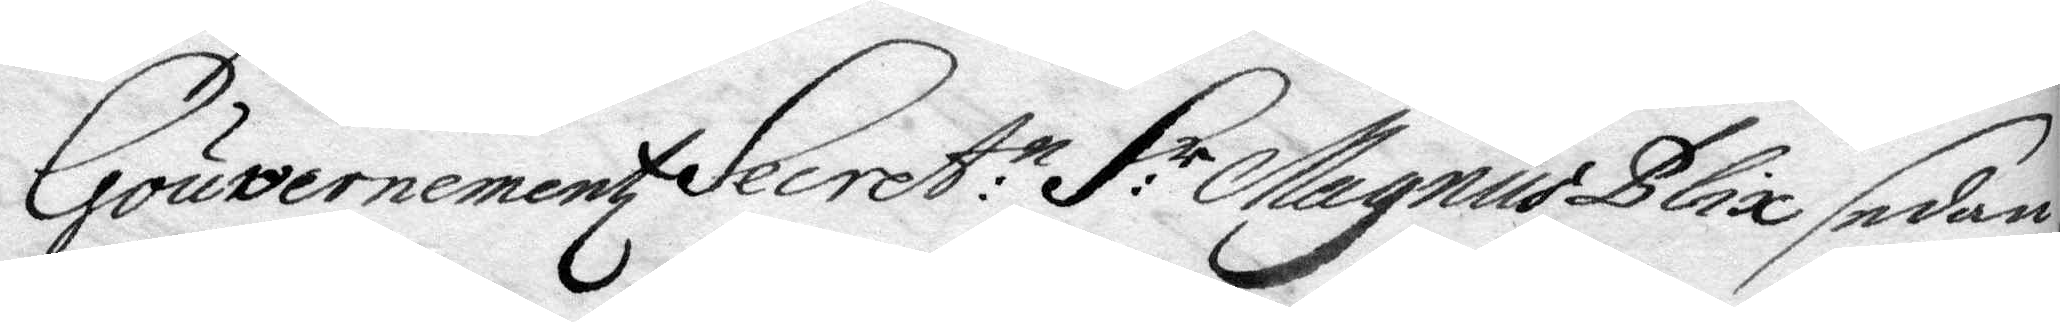Gouvernementz Secrett:n H:r Magnus Blix sedan
